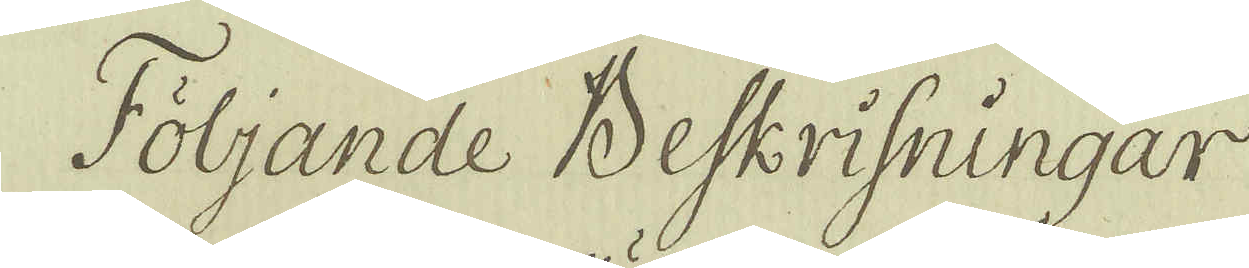Följande Beskrifningar
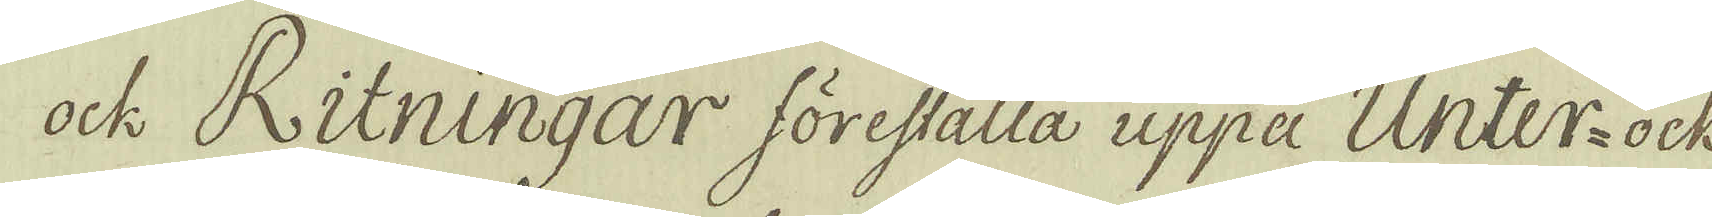ock Ritningar föreställa uppå Unter-ock
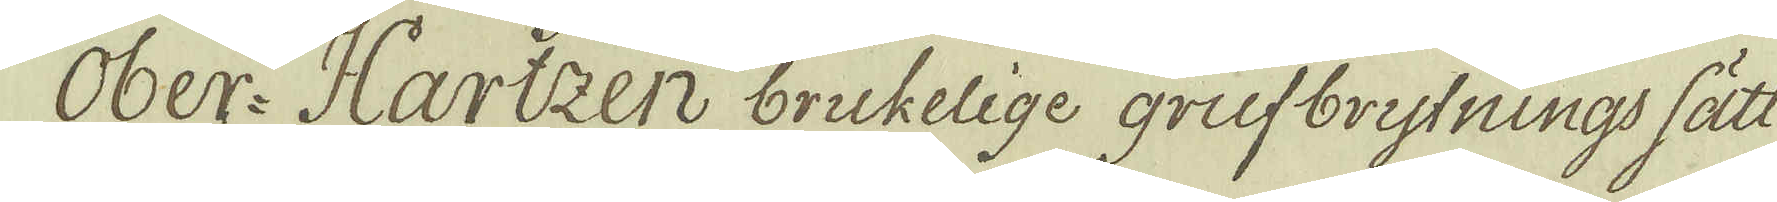Ober-Hartzen brukelige grufbrytnings sätt
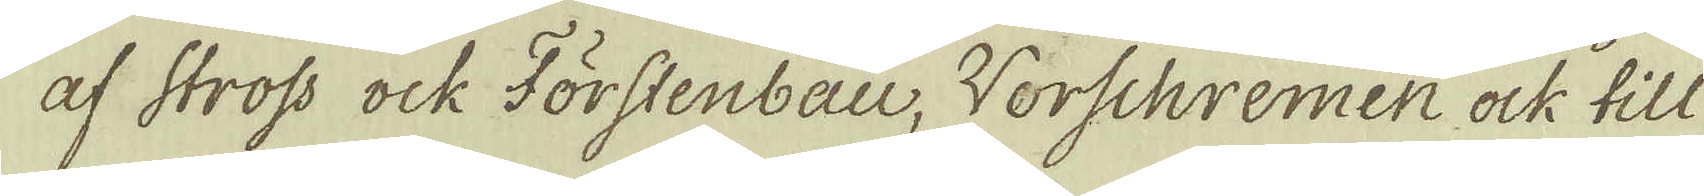af stross ock Förstenbau, Worschremen ock till
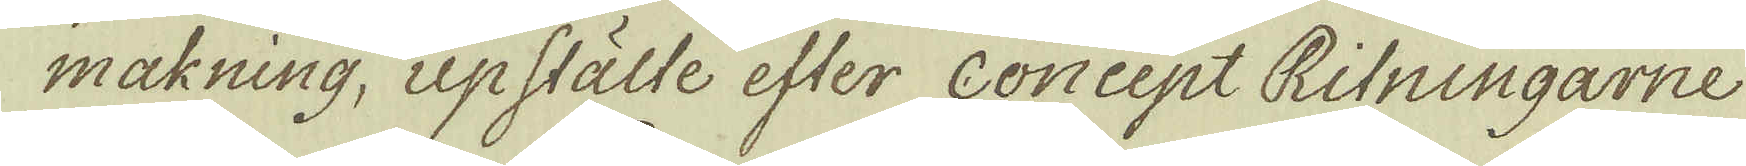makning, upstälte efter Concept Ritningarne
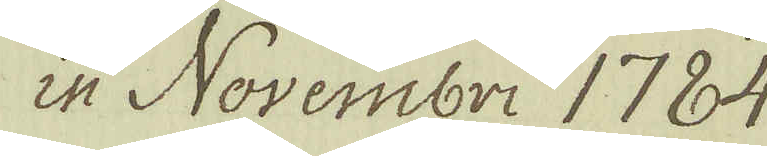in Novembri 1784.
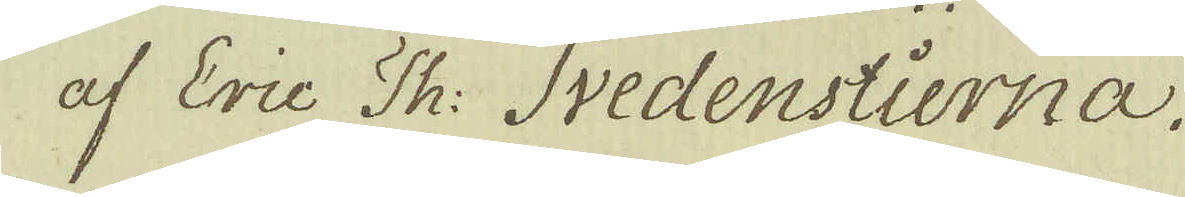af Eric Th: Svedenstierna.
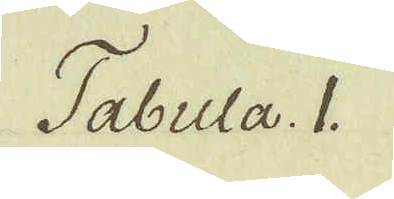Tabula. 1.
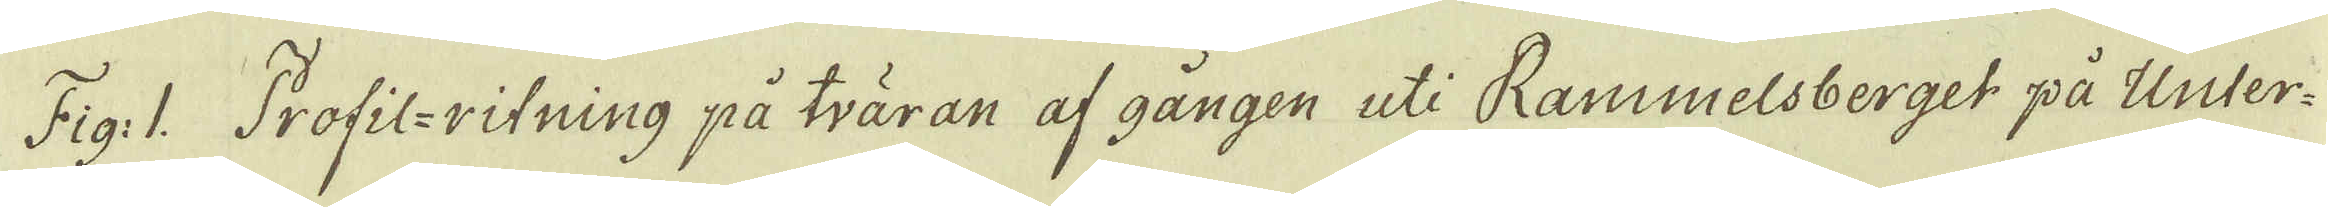Fig: 1. Profil-ritning på tväran af gången uti Rammelsberget på Unter-
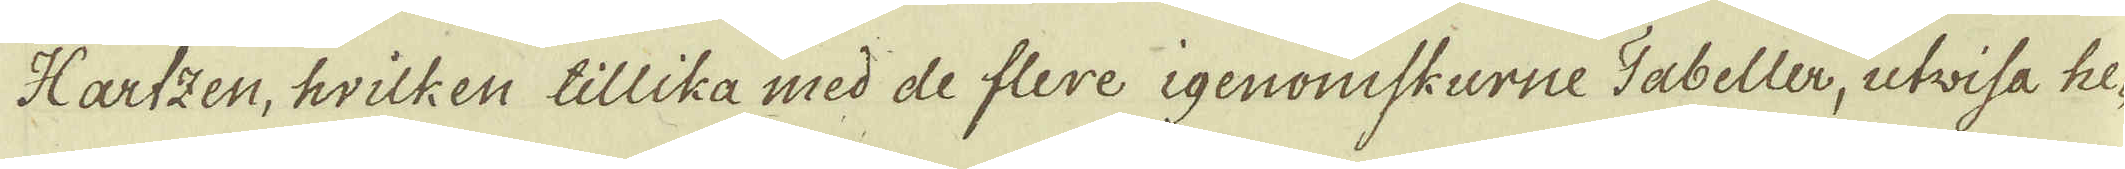Hartzen, hvilken tillika med de flere igenoniskurne Tabeller, utwisa he-
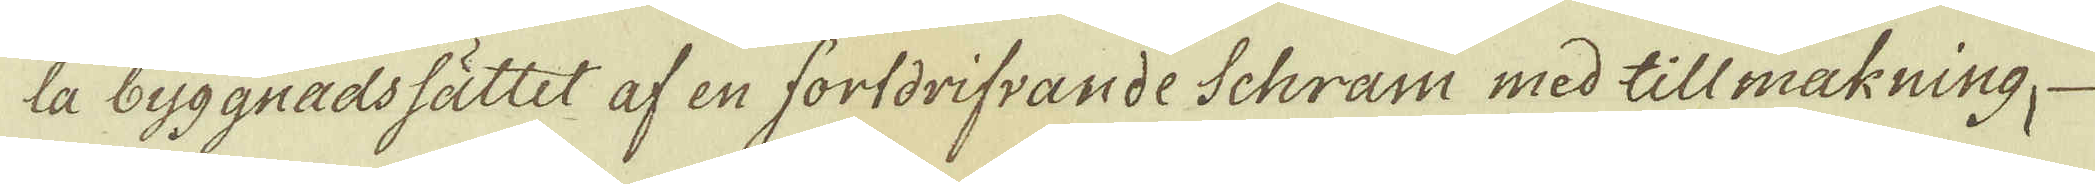la byggnadssättet af en fortdrifvande Schram med tillmakning,
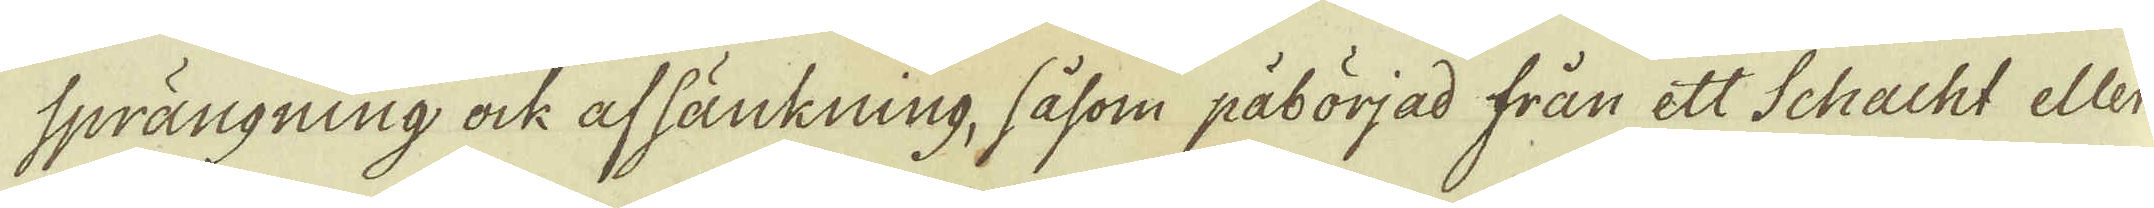sprängning ock afsänkning, såsom påbörjad från ett Schacht eller
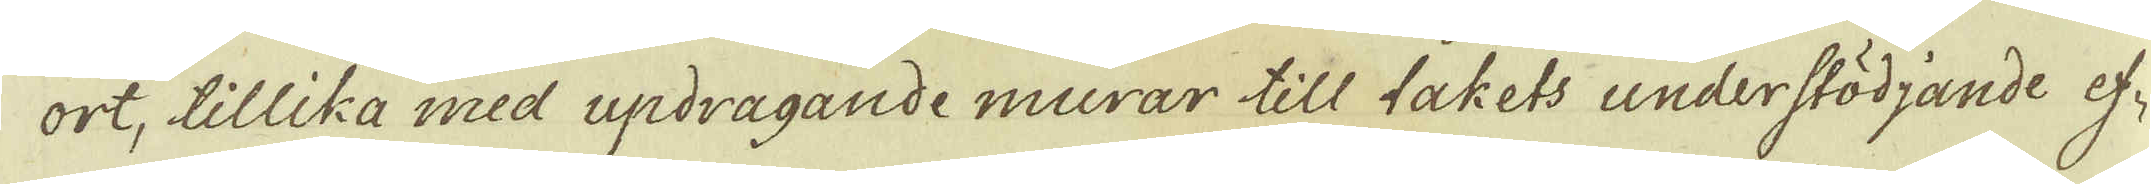ort, tillika med updragande murar till takets understödjande ef-
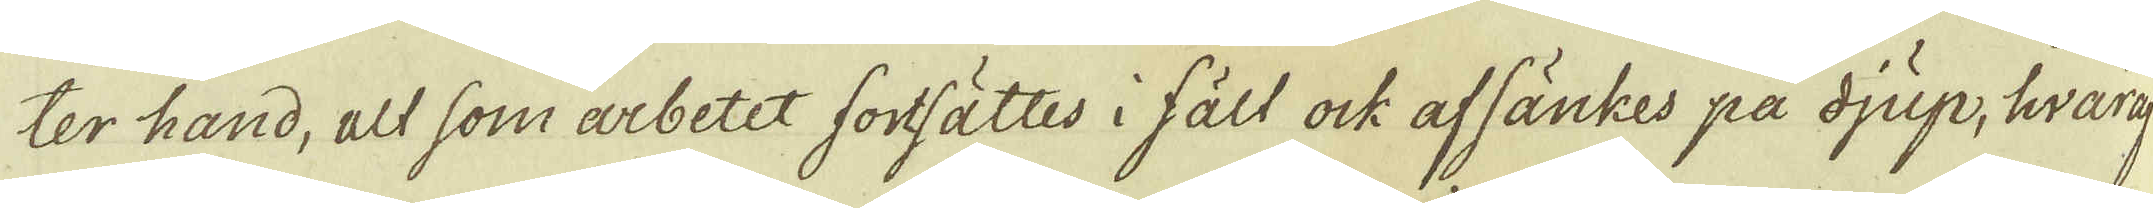ter hand, alt som arbetet fortsättes i fält ock afsänkes på djup, hwara-
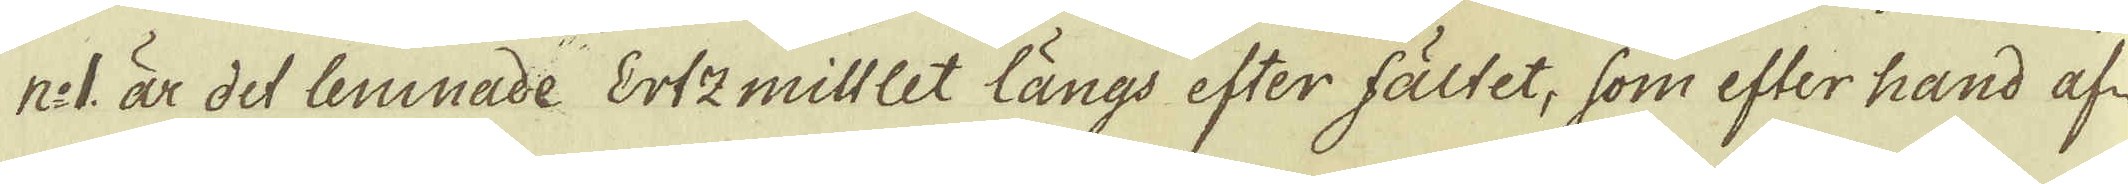n:1. är det lemnade Ertzmittlet längs efter fältet, som efter hand af-
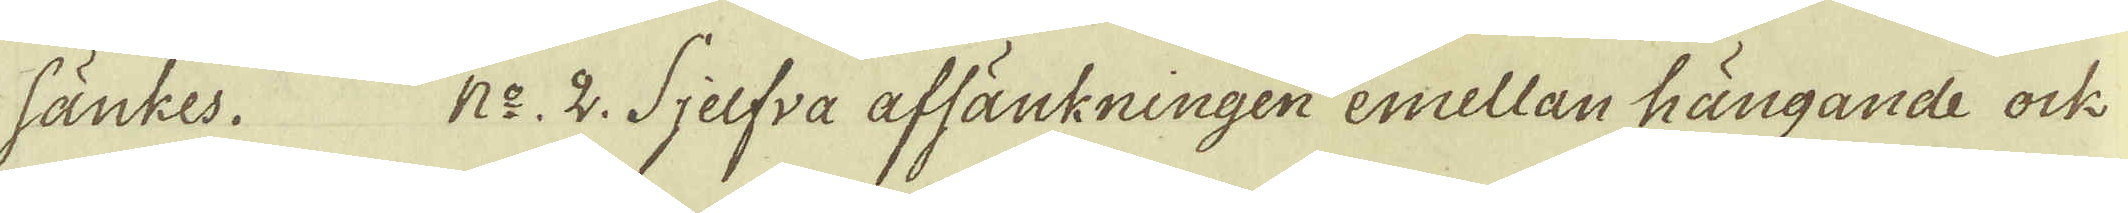sänkes. N:o 2. Sjelfva affänkningen emellan hängande ock
